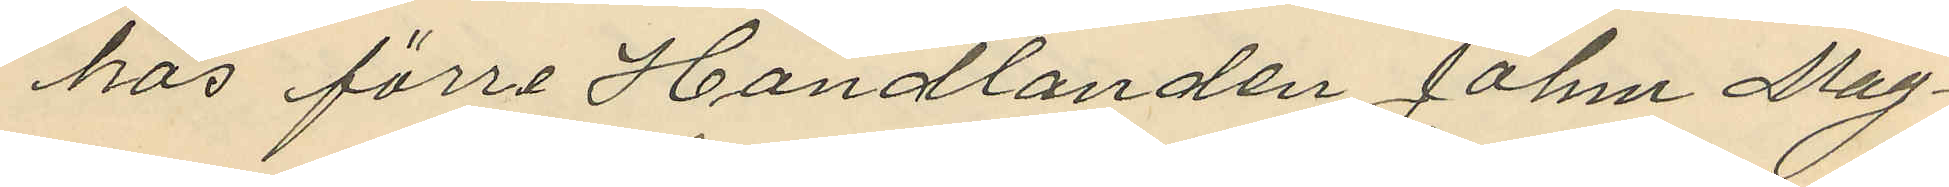hos förre Handlanden Johm Mag¬
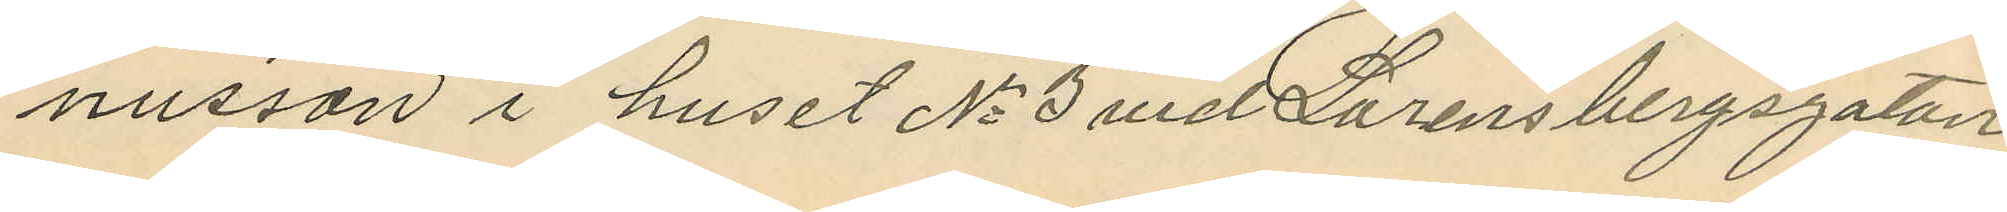nusson i huset No 3 vid Lorensbergsgatan
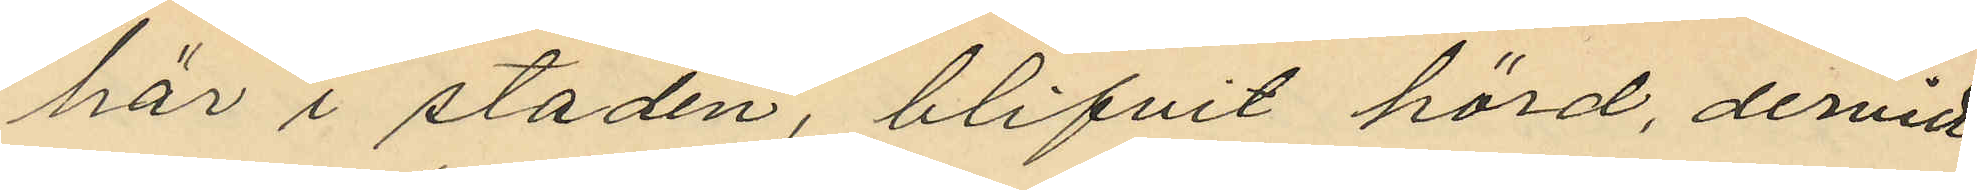här i staden, blifvit hörd, dervid
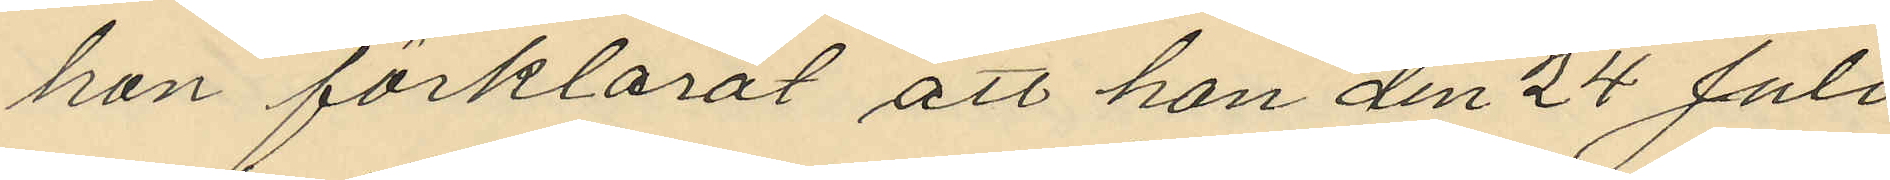hon förklarat att hon den 24 Juli
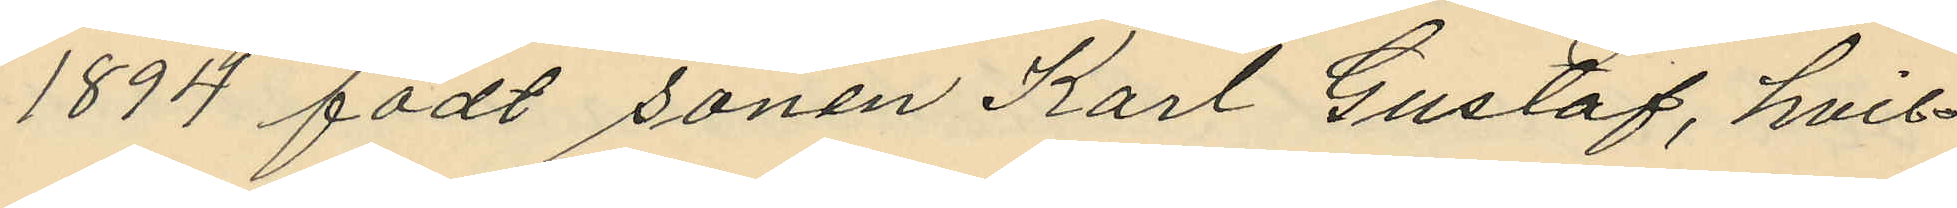1894 födt sonen Karl Gustaf, hvil¬
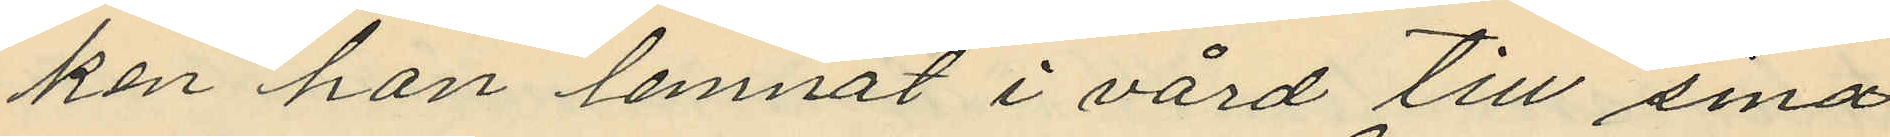ken hon lemnat i vård till sina
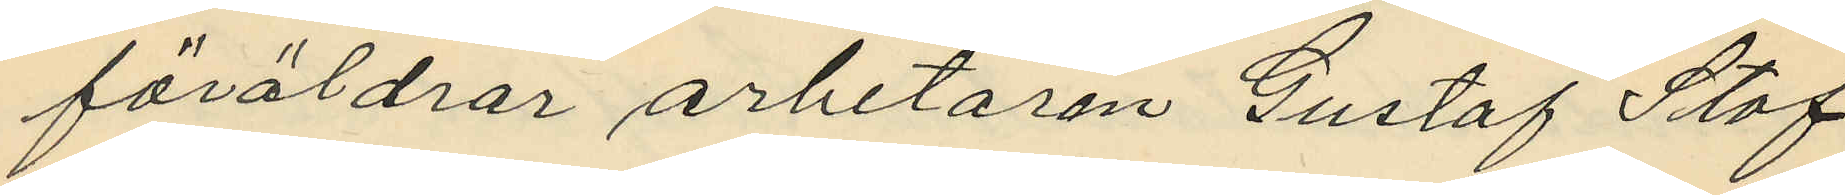föräldrar arbetaren Gustaf Staf
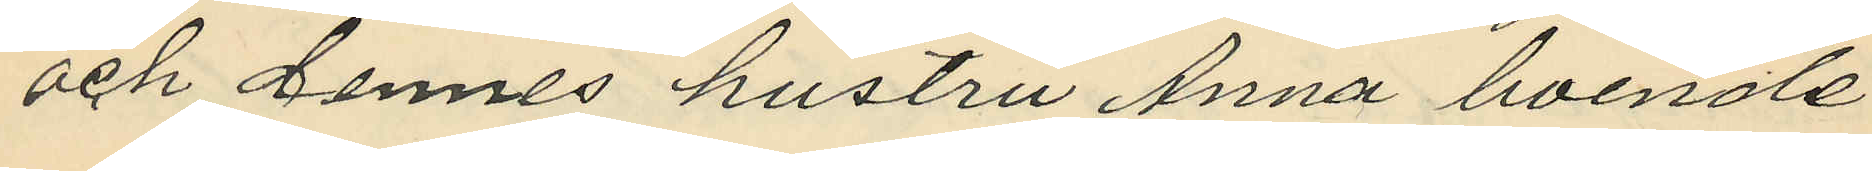och dennes hustru Anna boende
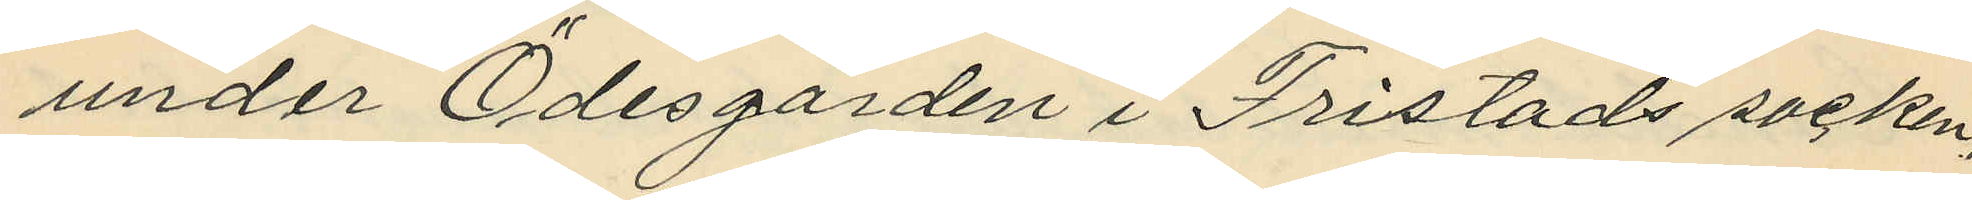under Ödesgården i Fristads socken,
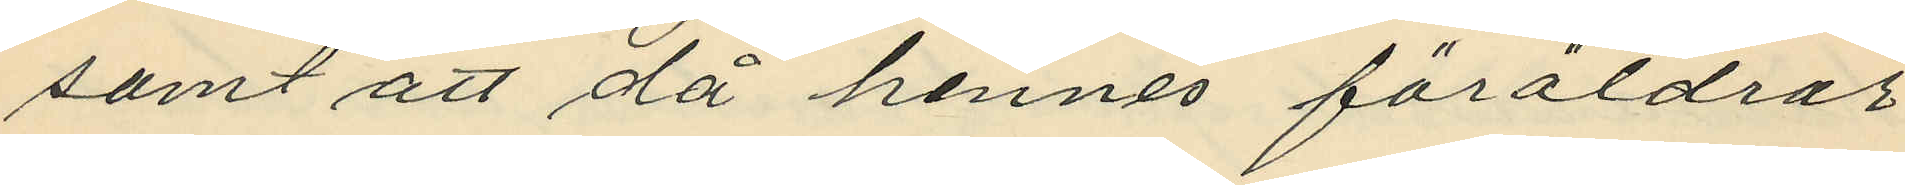samt att då hennes föräldrar
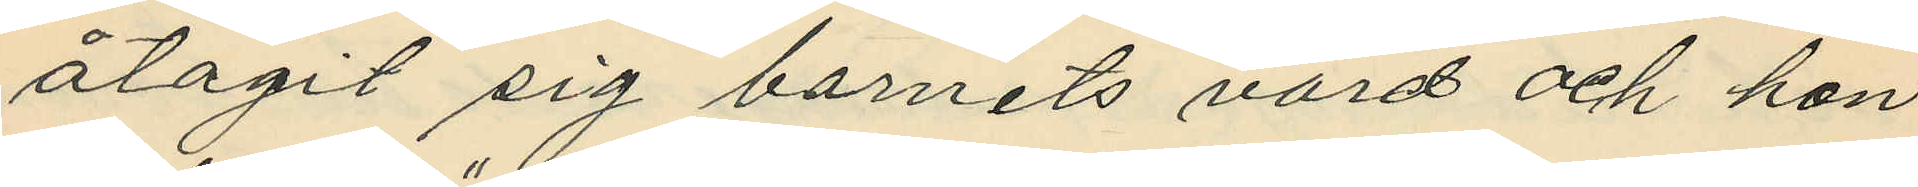åtagit sig barnets vård och hon
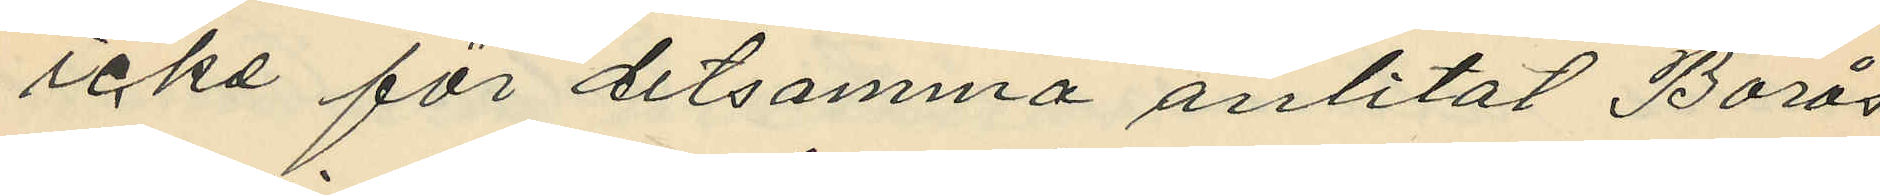icke för detsamma anlitat Borås
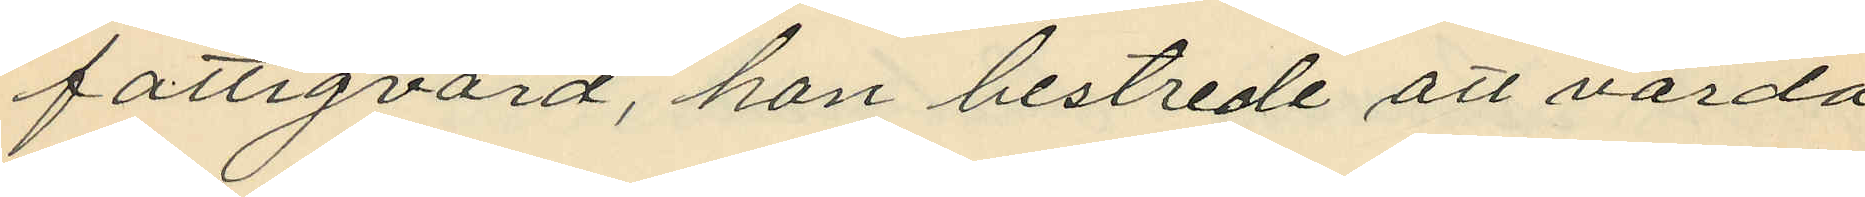fattigvård, hon bestrede att varda
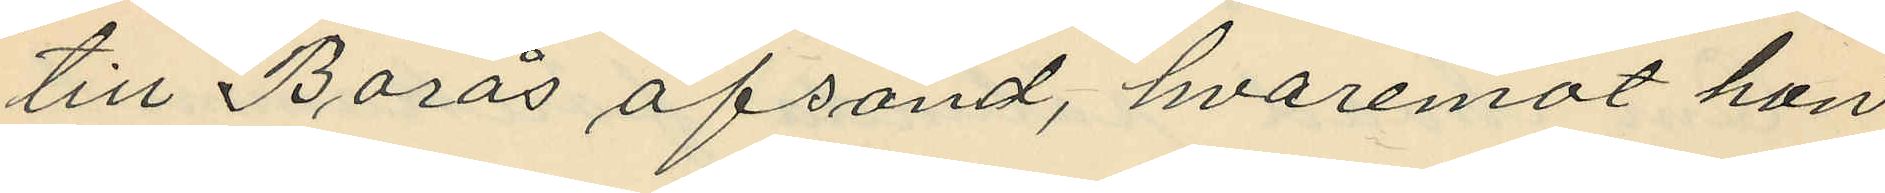till Borås afsänd, hvaremot hon
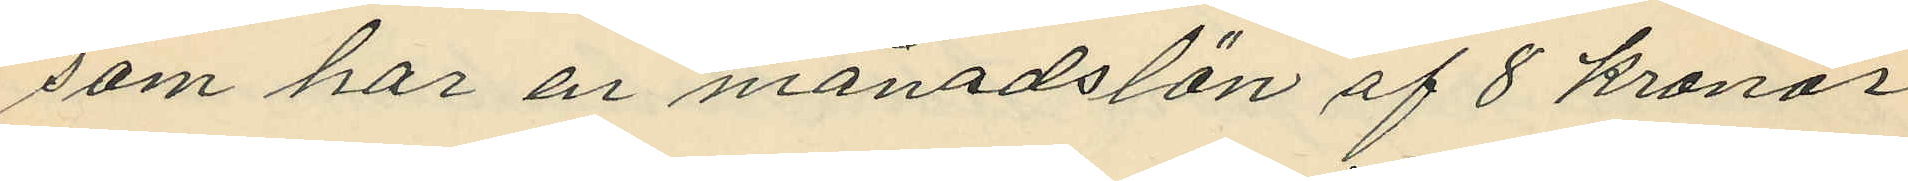som har en månadslön af 8 kronor
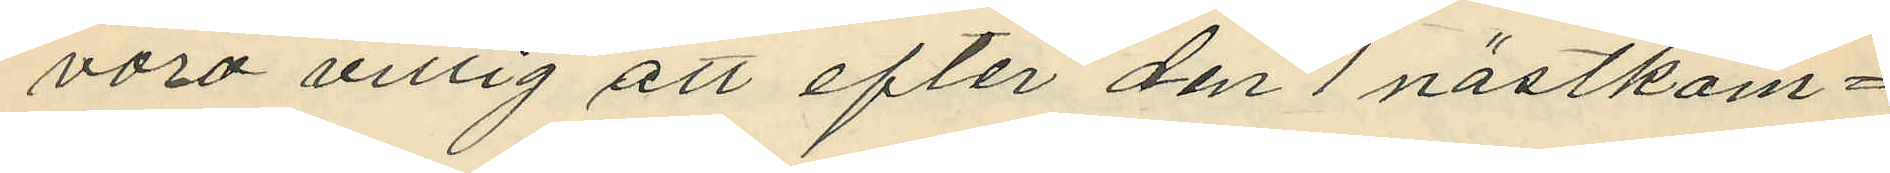voro villig att efter den 1 nästkom¬
